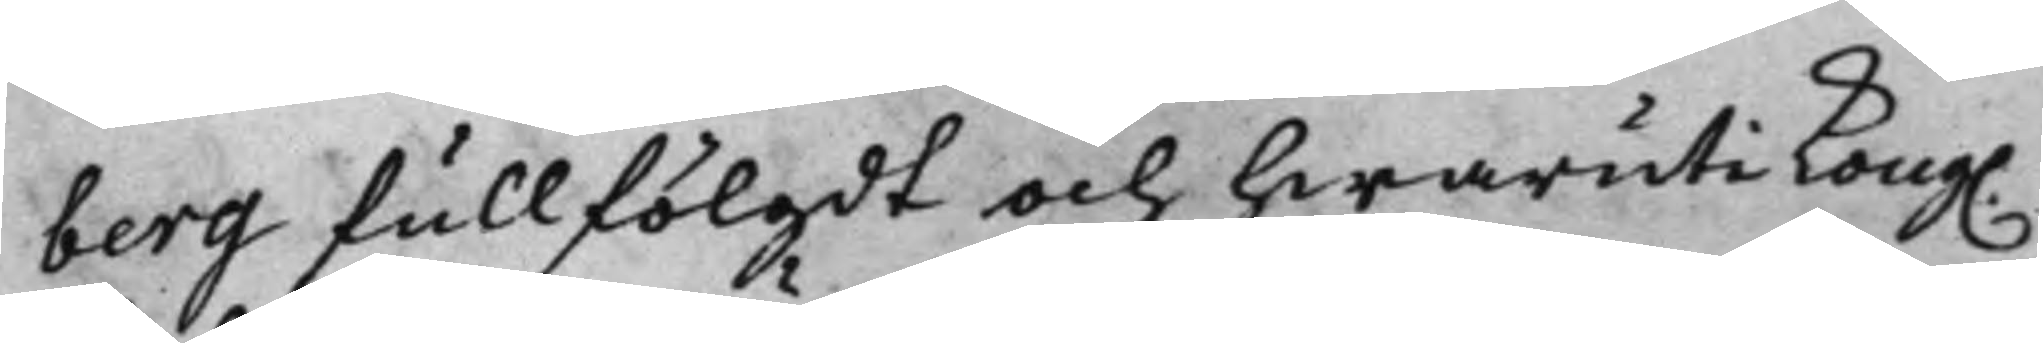berg fullfölgdt och hwaruti Kong. 
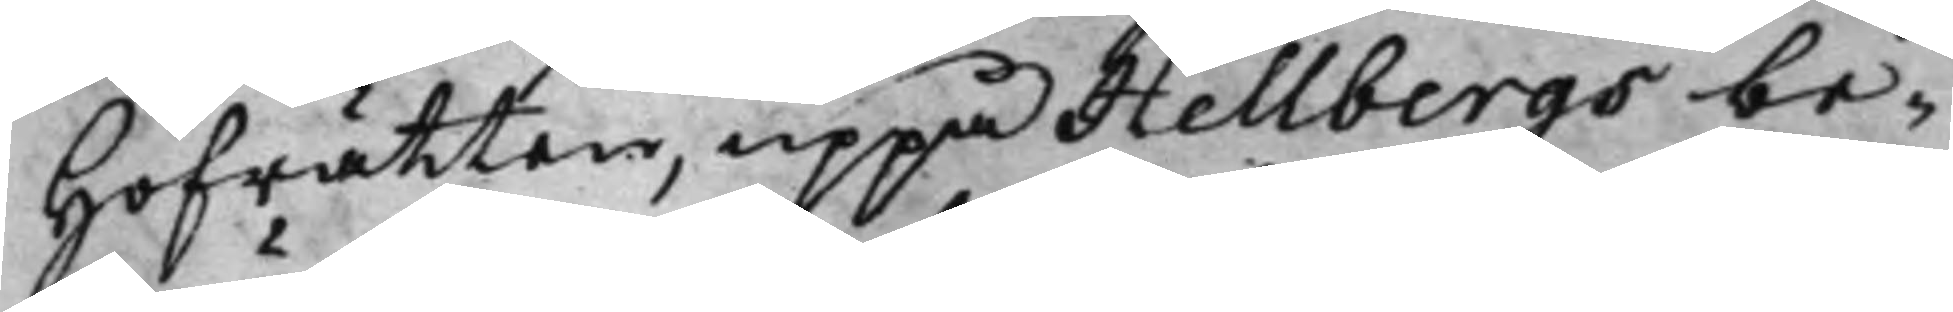Hofrätten, uppå Hellbergs be¬
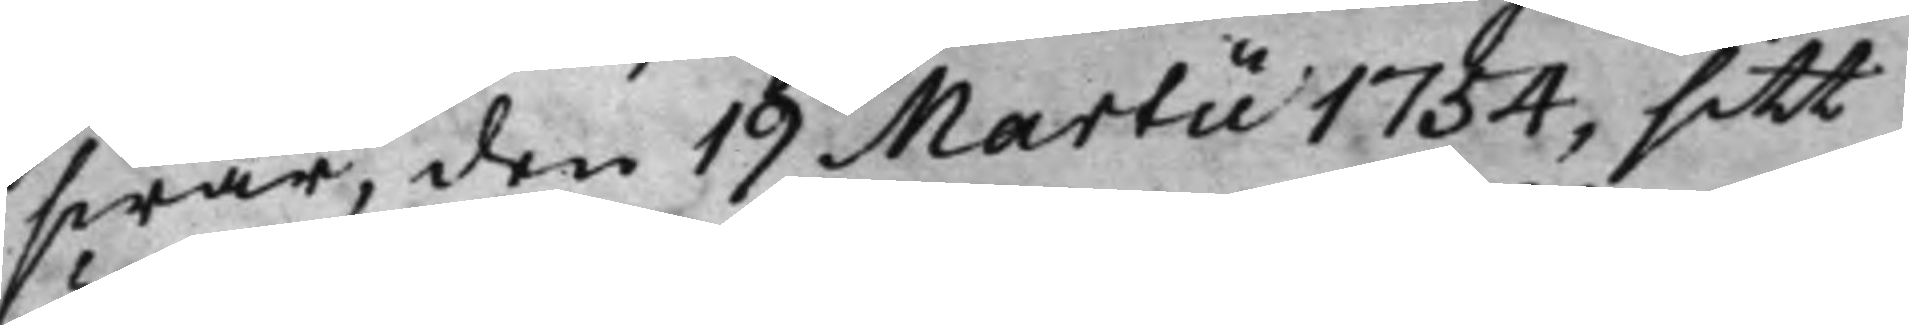swär, den 19 Martii 1754, sitt
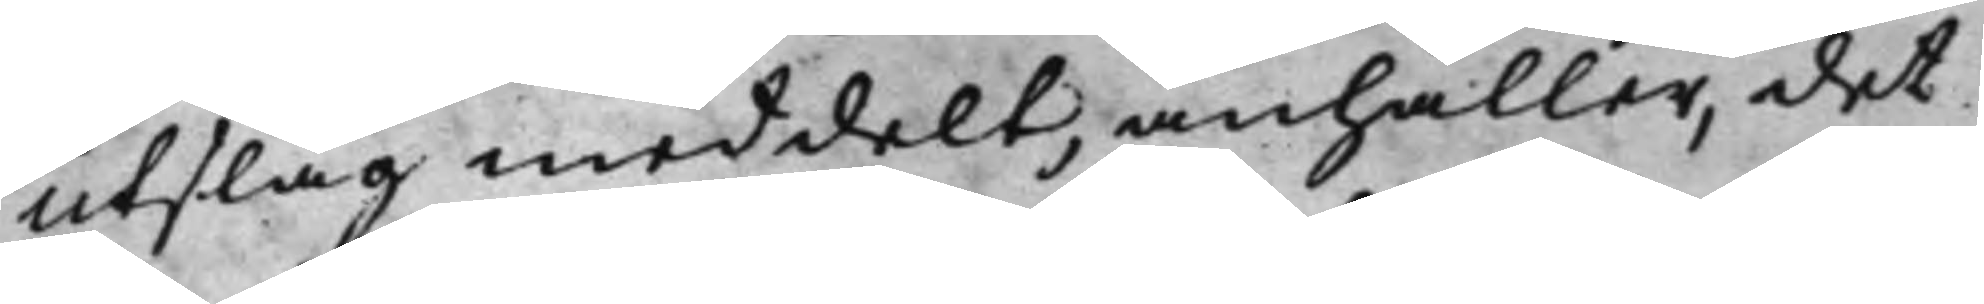Utslag meddelt, anhåller, det
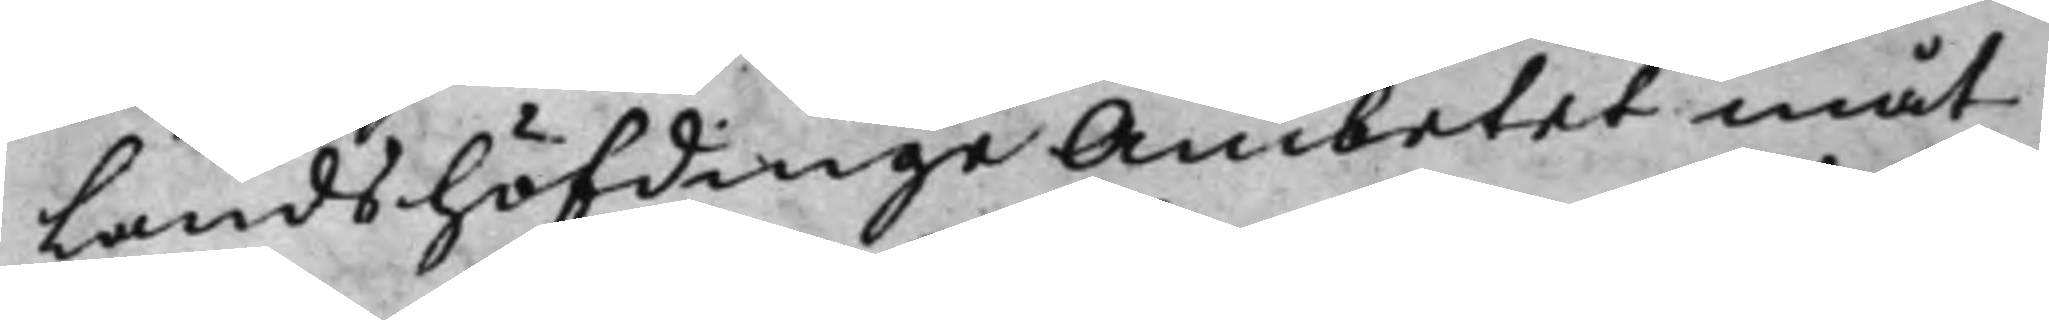Landshöfdinge Ämbetet måt¬<
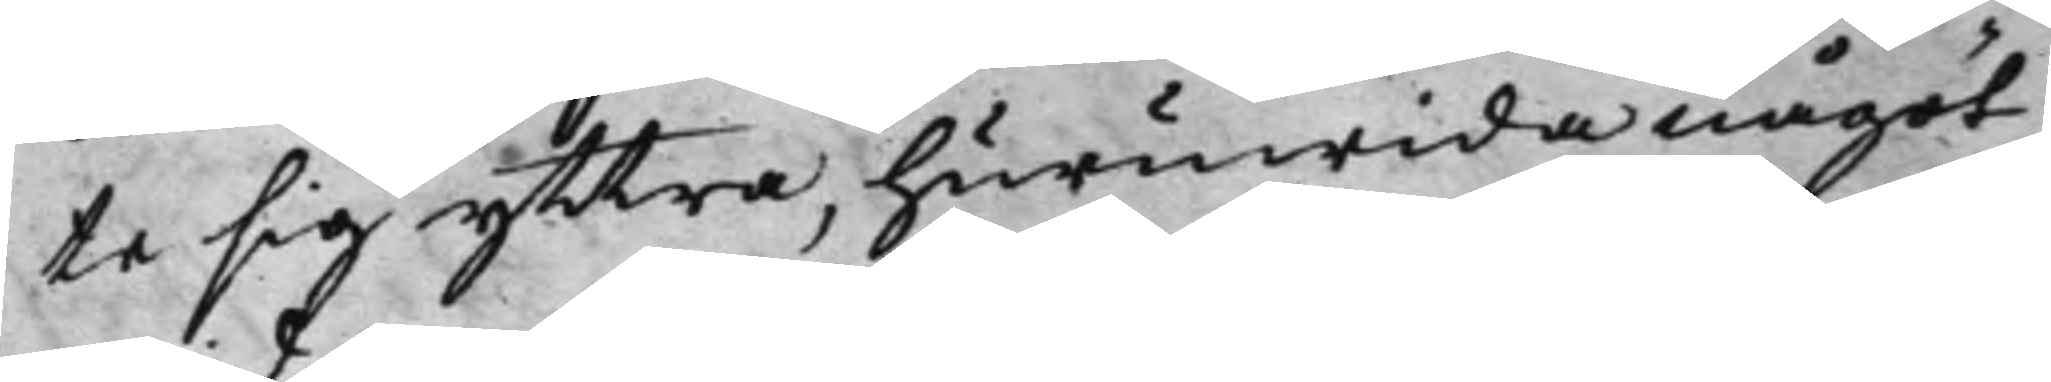te sig yttra, huruwida något
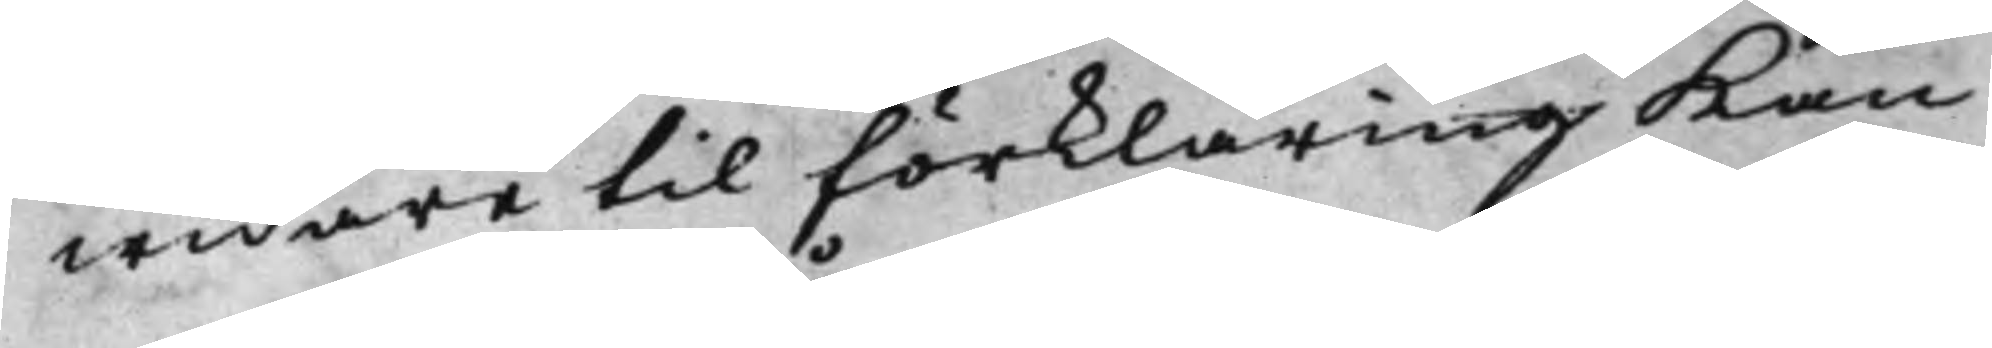widare til förklaring Kan
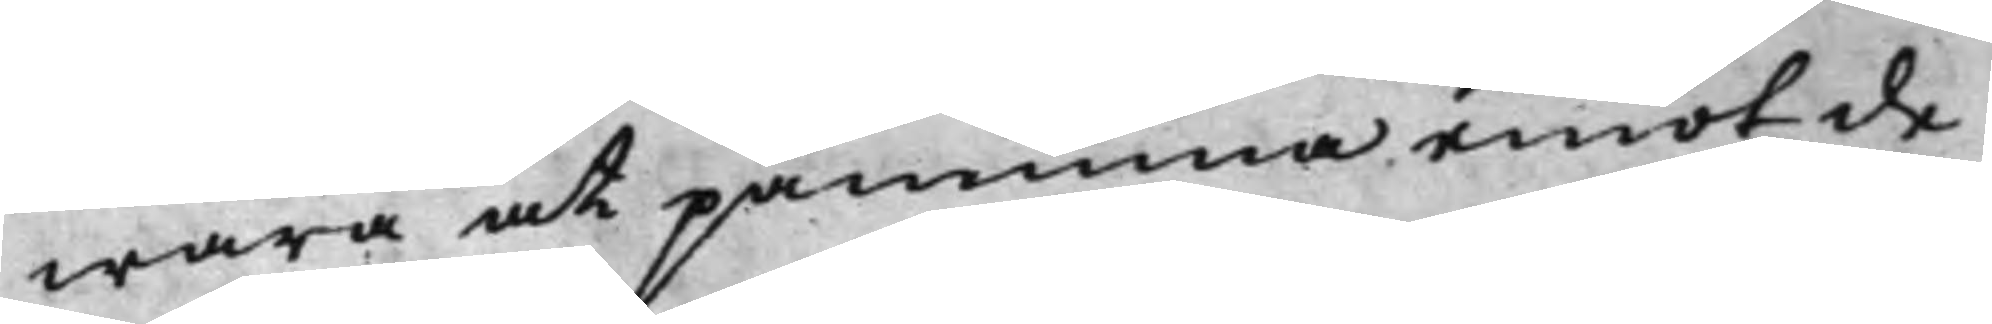wara at påminna emot de
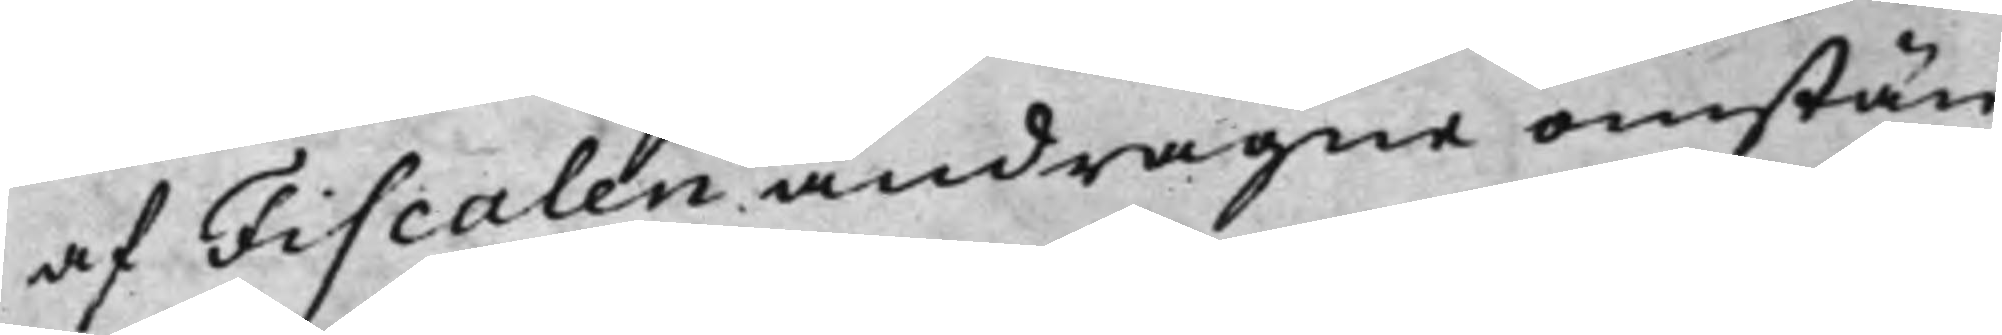af Fiscalen andragne omstän¬
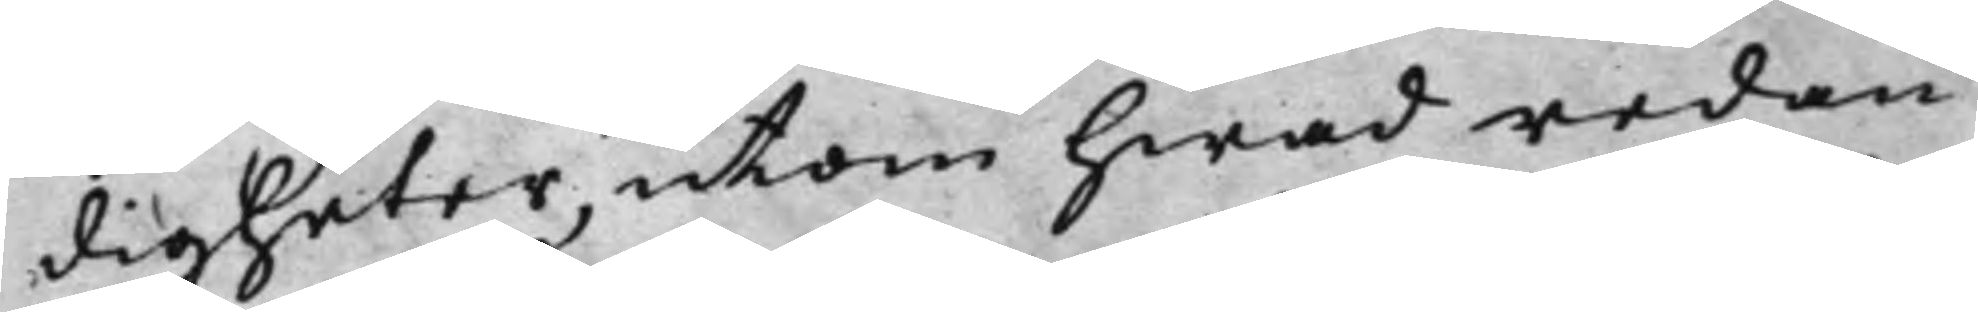digheter, utom hwad redan
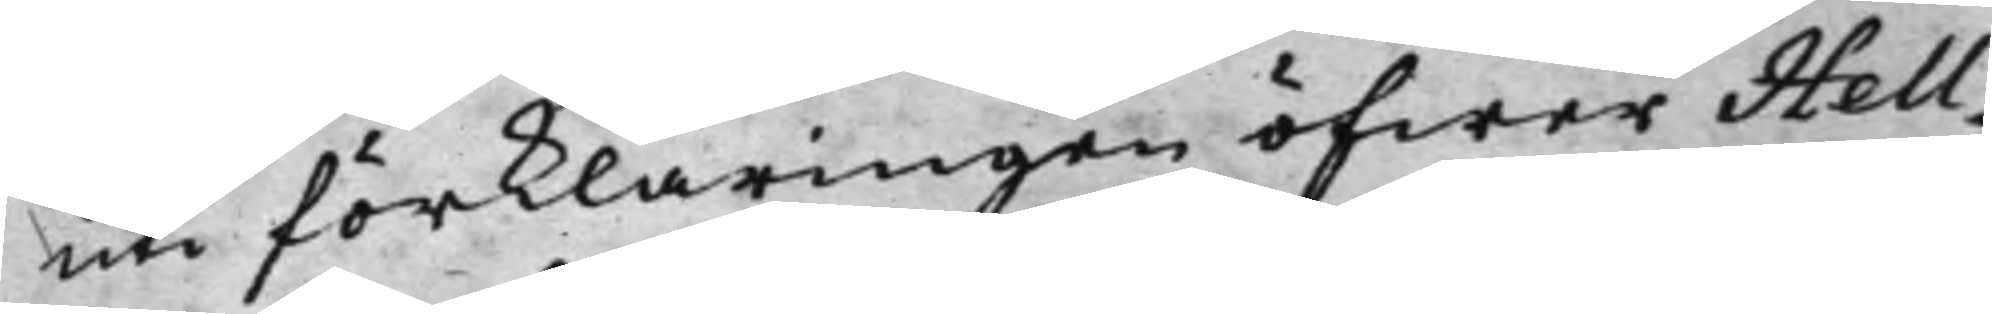uti förklaringen öfwer Hell¬
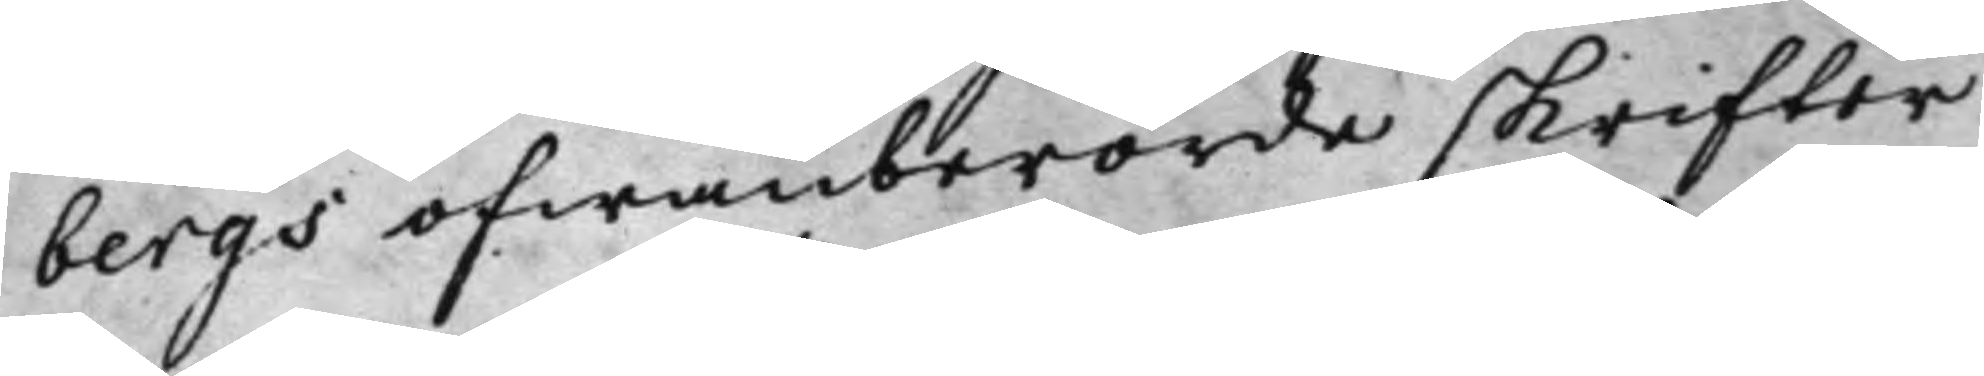bergs ofwanberörde skrifter
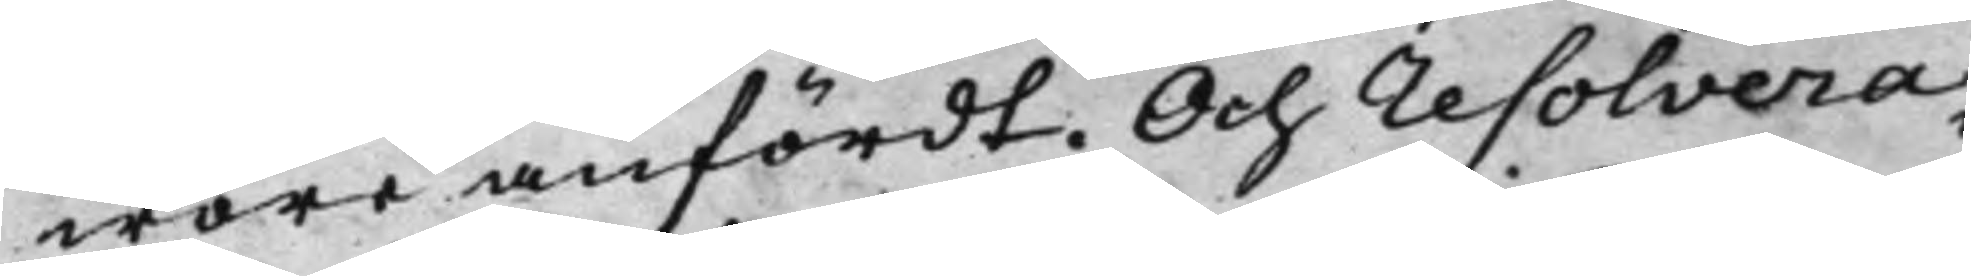wore anfördt. Och resolvera¬
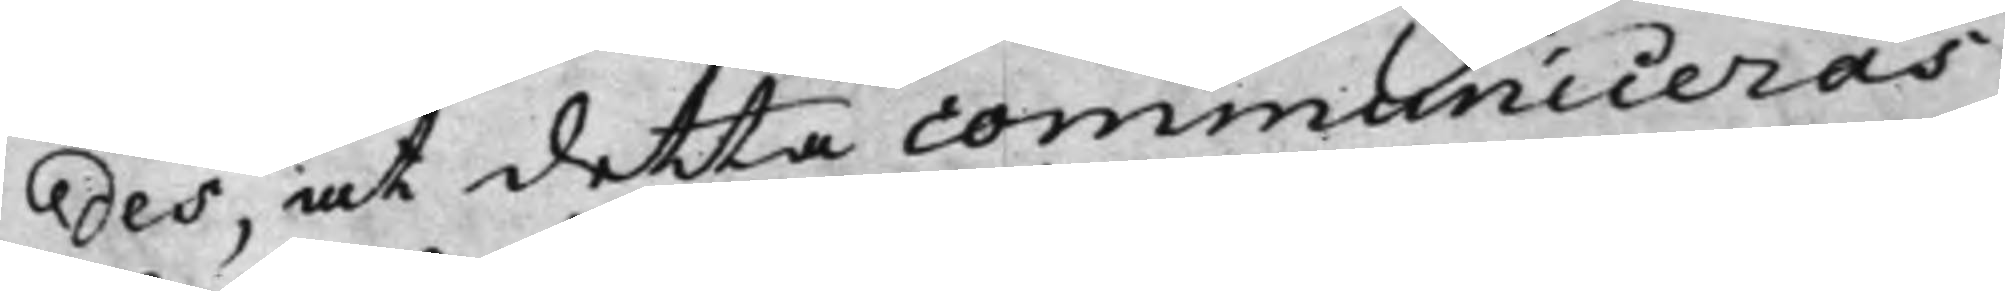des, at detta communiceras
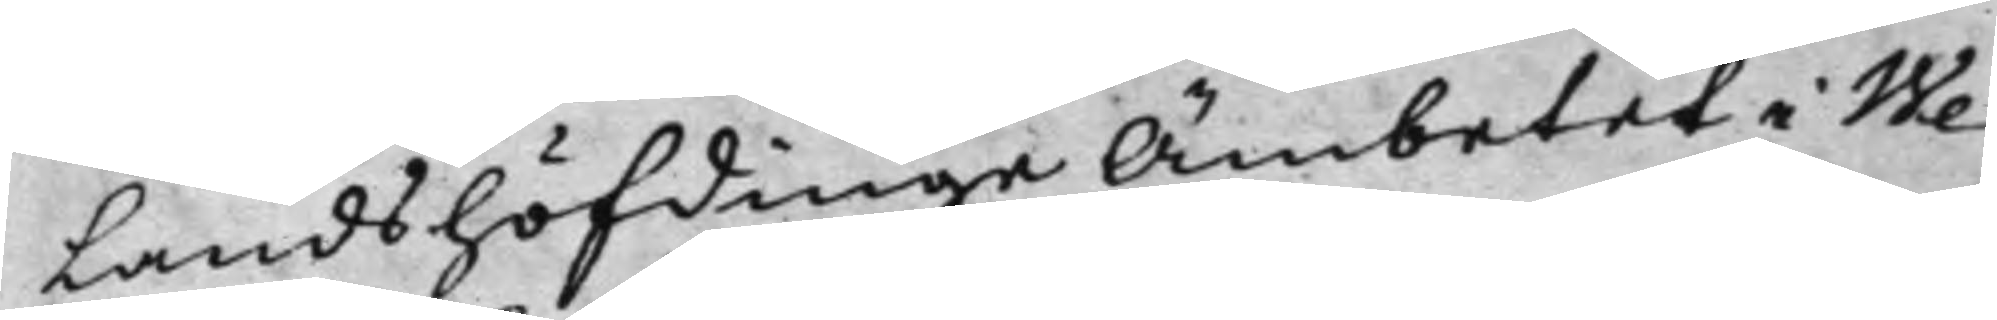Landshöfdinge Ämbetet i We¬
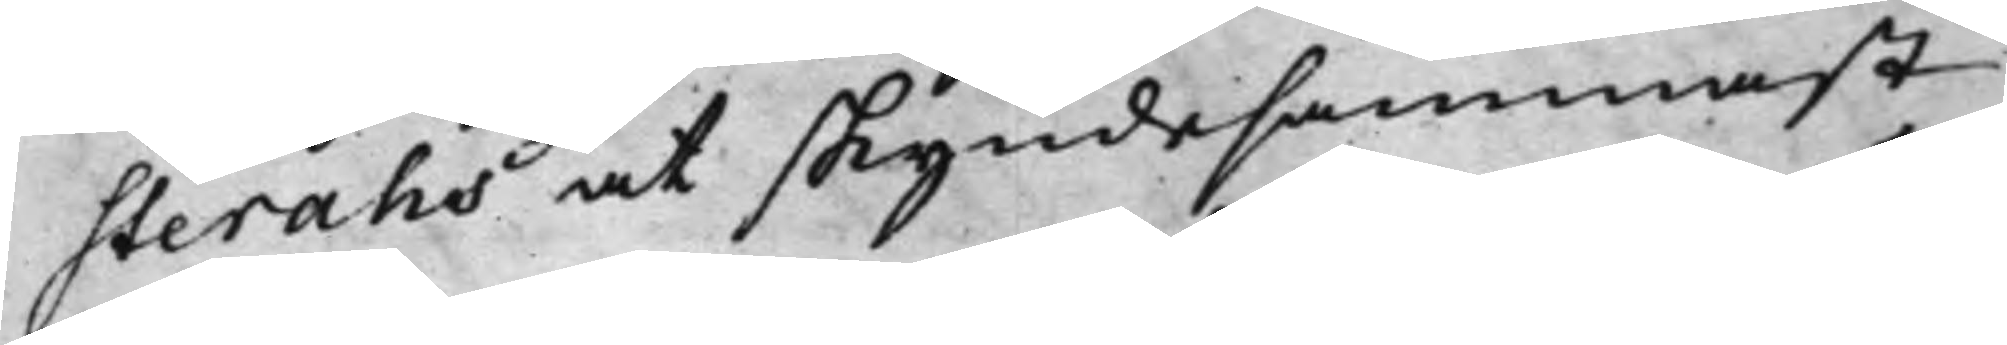steråhs at skyndesammast
